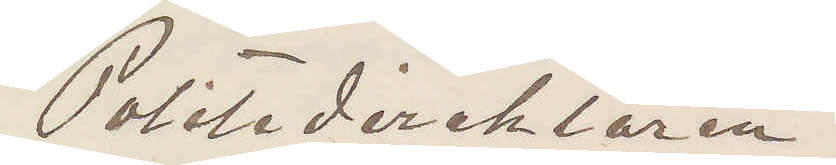Politidirektören
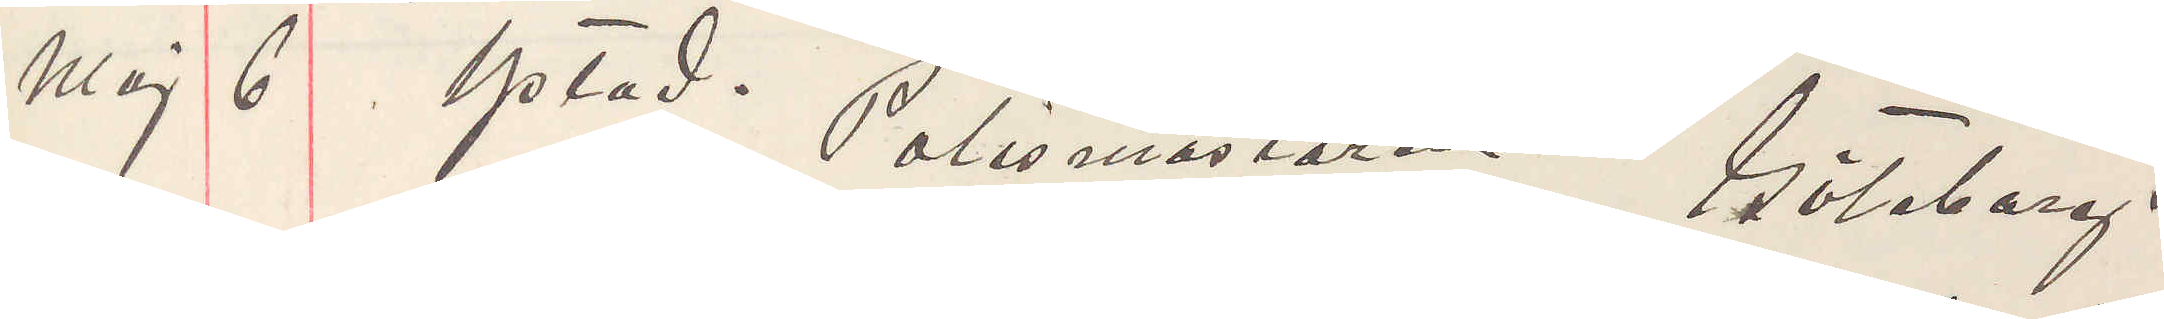Maj 6 Ystad. Polismästaren Göteborg.
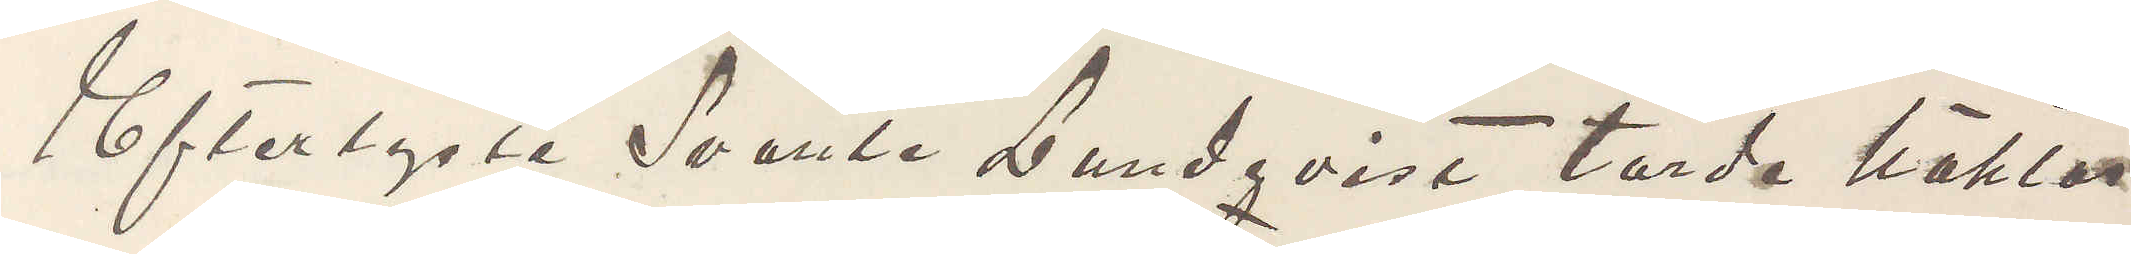Efterlyste Svante Lundqvist torde häktas
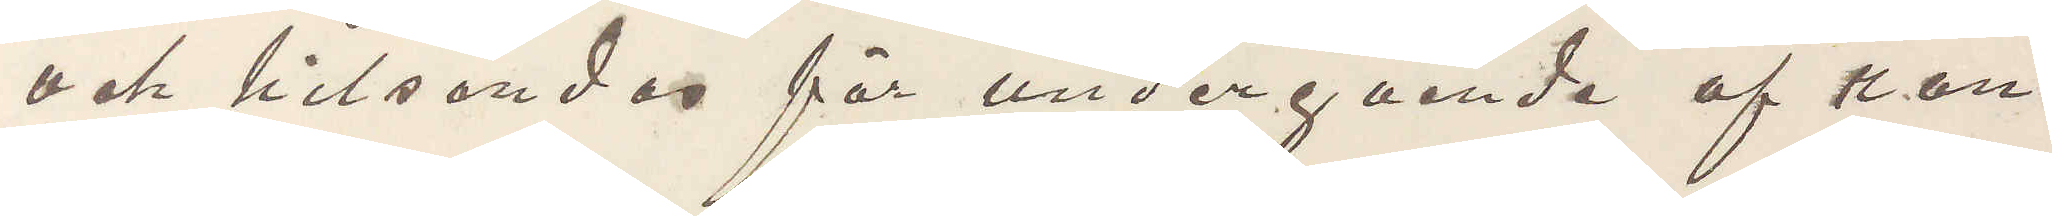och hitsändas för undergående af ran¬
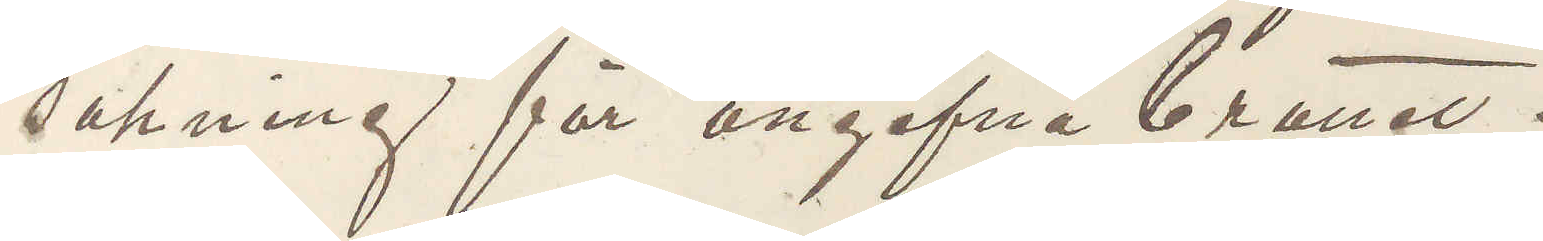sakning för angifna brottet.
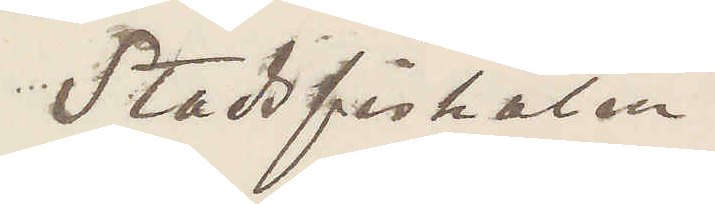Stadsfiskalen.
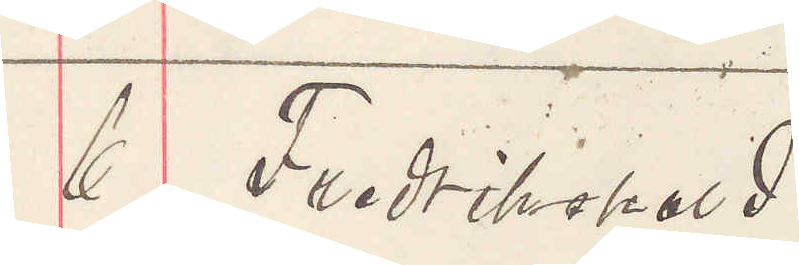6 Fredrikshald.
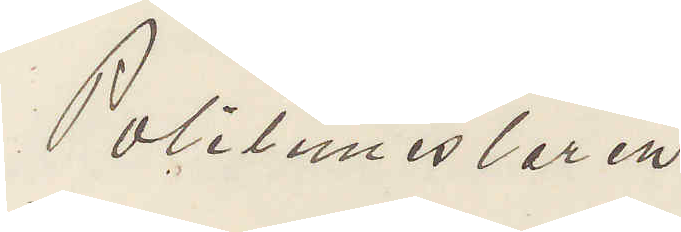Politimesteren
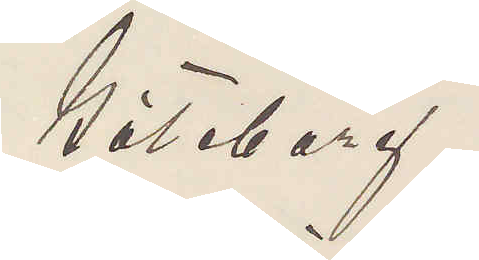Göteborg.
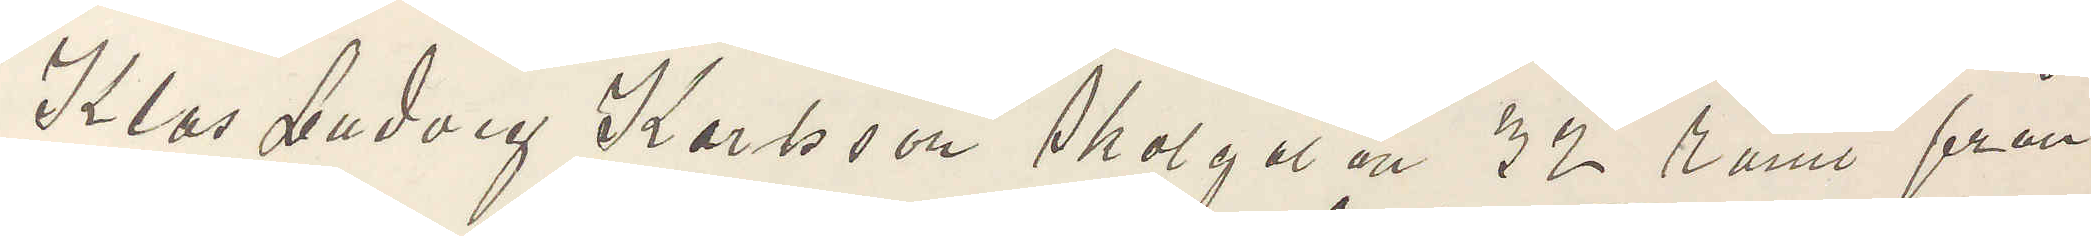Klas Ludvig Karlsson Skolgatan 32 römt från
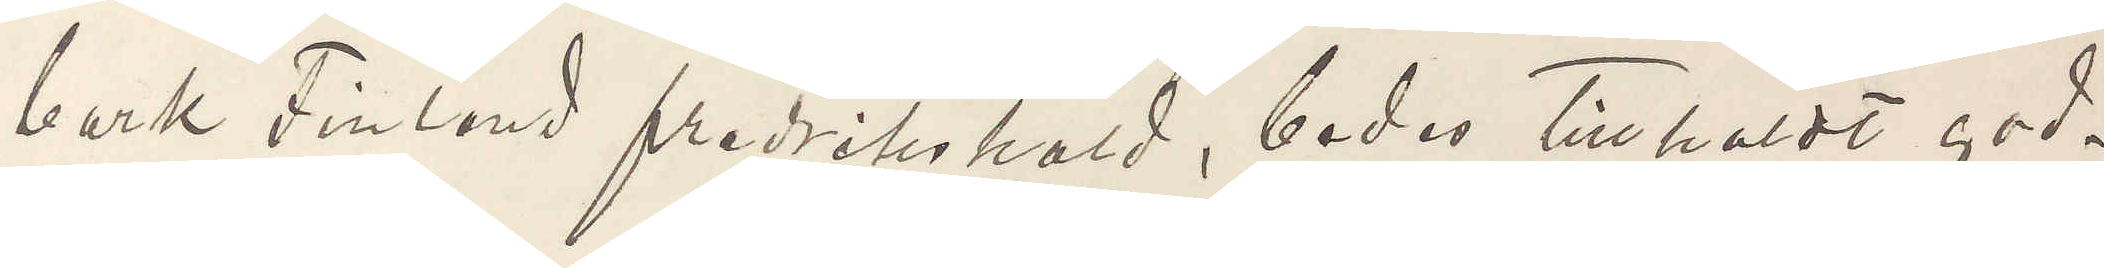bark Finland fredrikshald, bedes tillholdt god¬
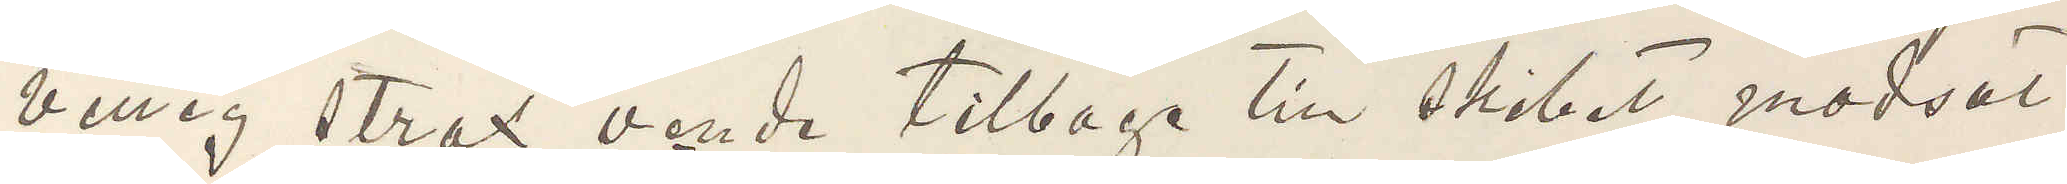villig strax vende tilbage till skibet modsat
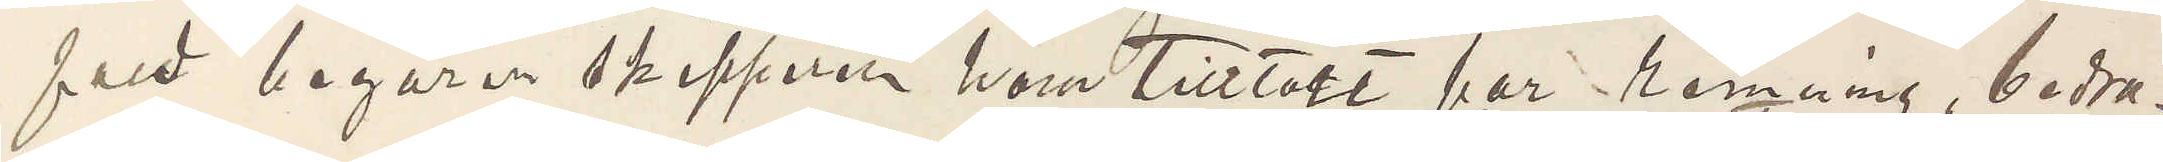fald begärer skipperen ham Tilltalt for römning, bedra¬
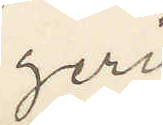geri
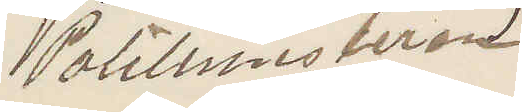Politimesteren
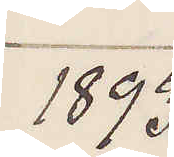1893 
